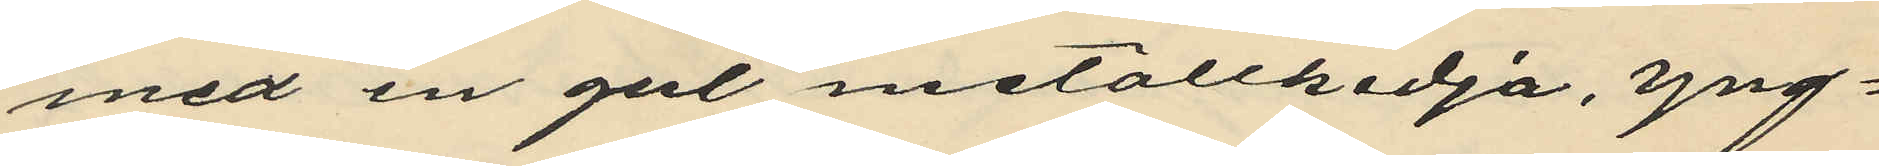med en gul metallkedja, yng¬
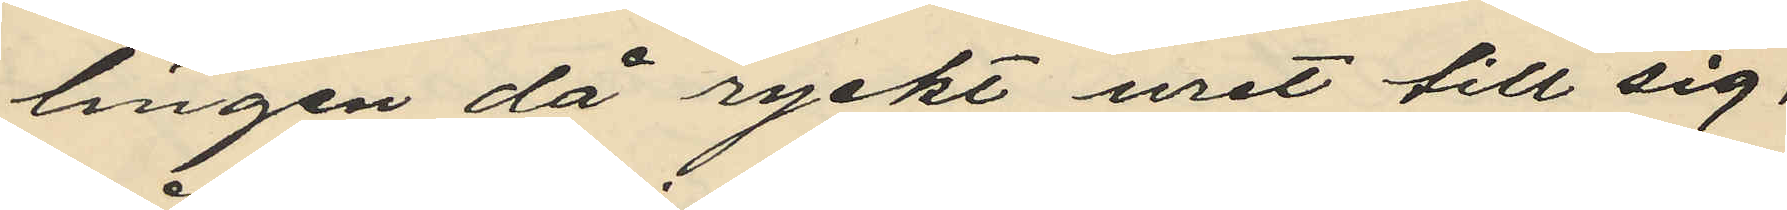lingen då ryckt uret till sig,
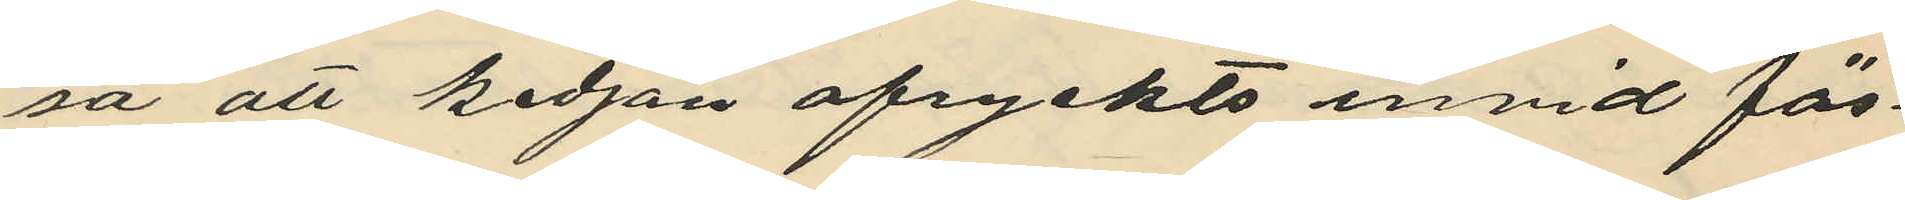så att kedjan afryckts invid fäs¬
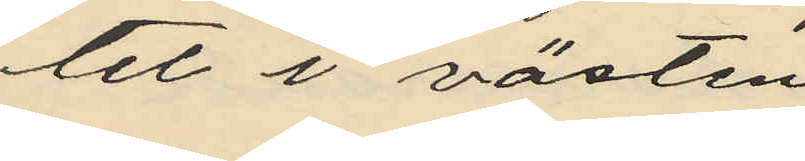tet i västen;
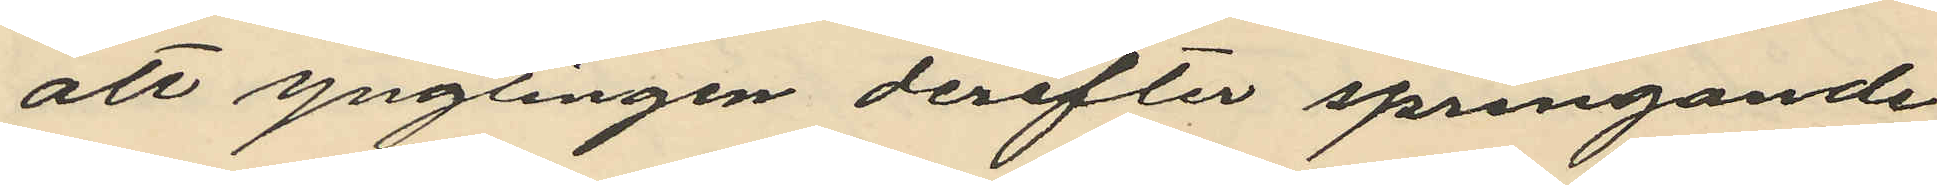att ynglingen derefter springande
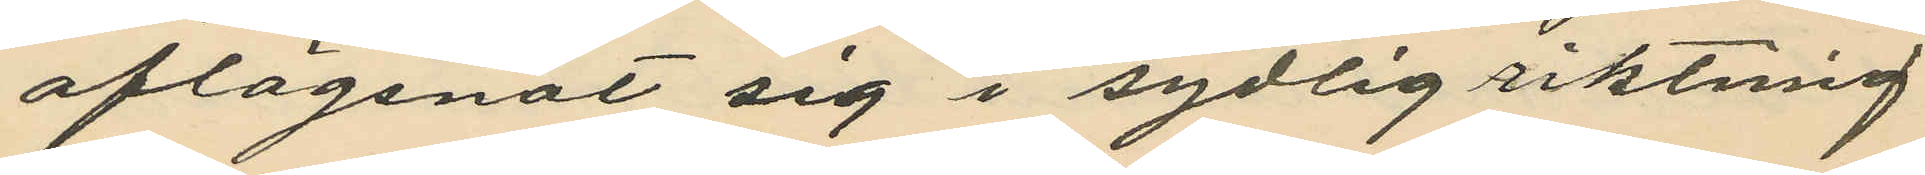aflägsnat sig i sydlig riktmig
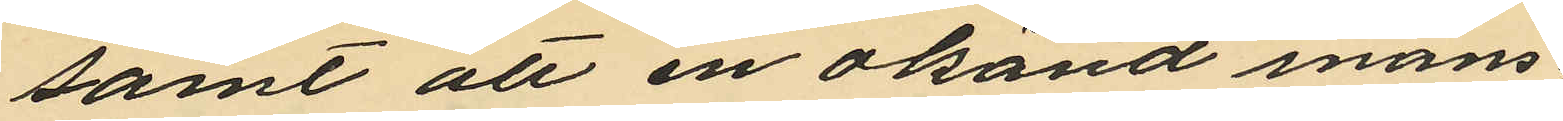samt att en okänd mans¬
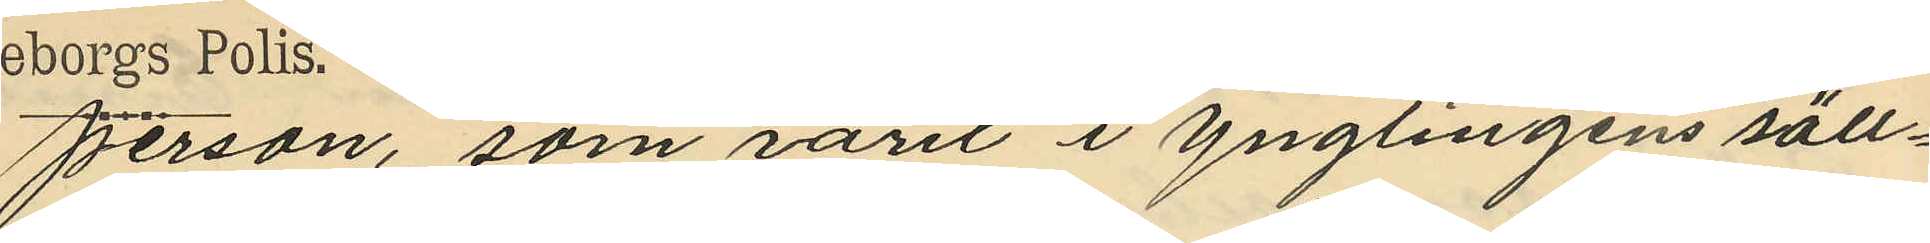person, som varit i ynglingens säll¬
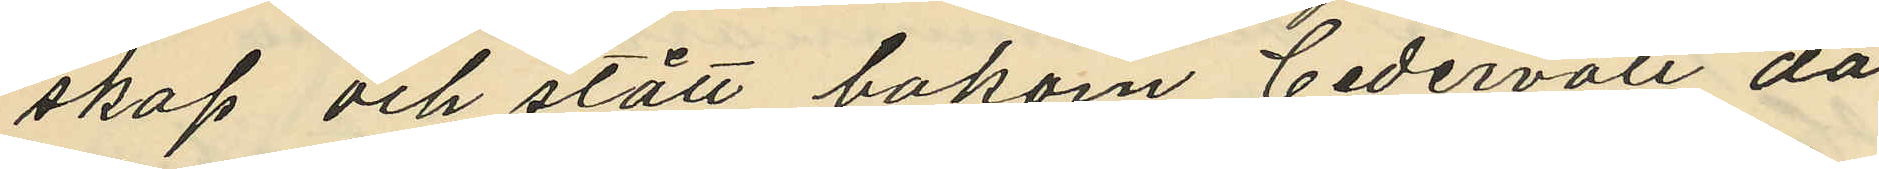skap och stått bakom Cedervall då
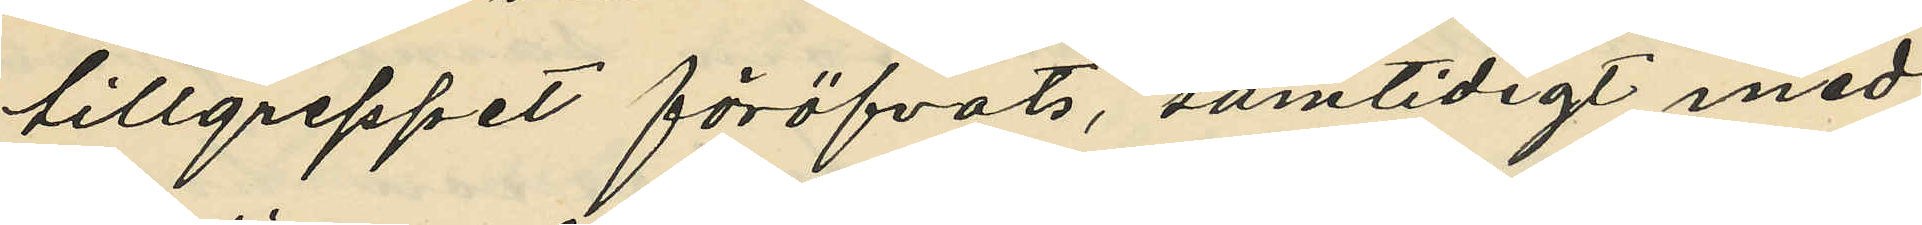tillgreppet föröfvats, samtidigt med
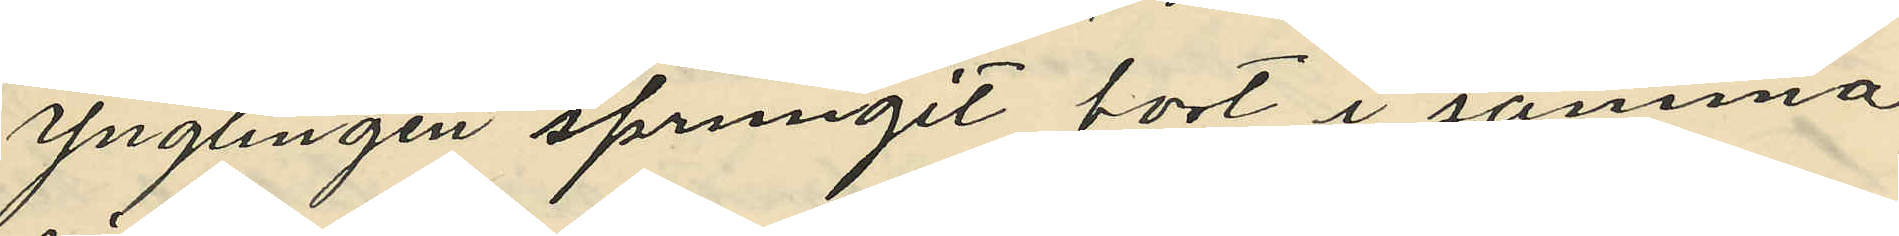ynglingen sprungit bort i samma
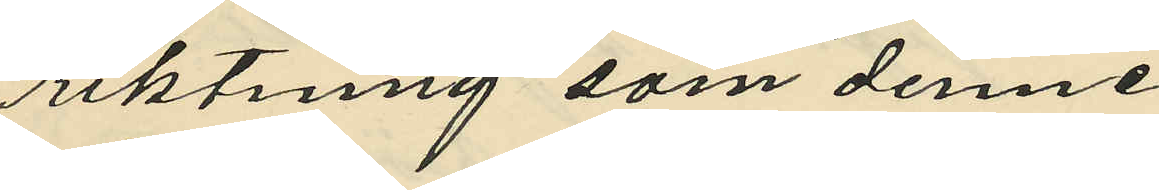riktning som denne
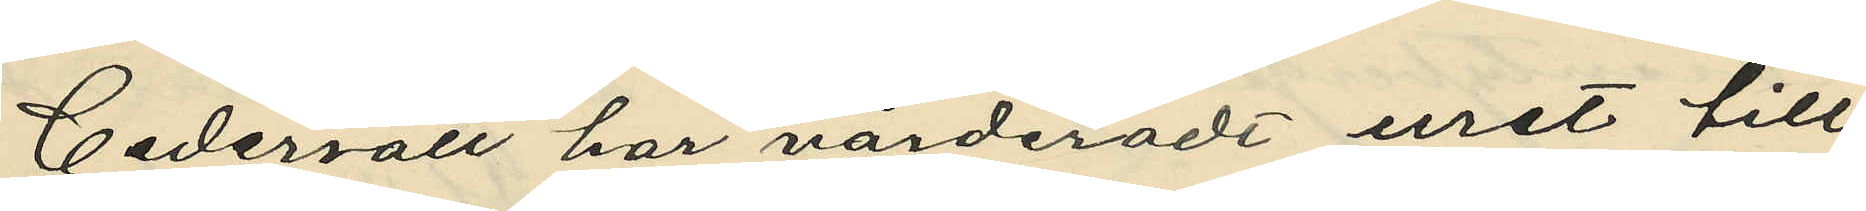Cedervall har värderadt uret till
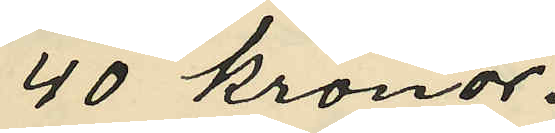40 kronor.
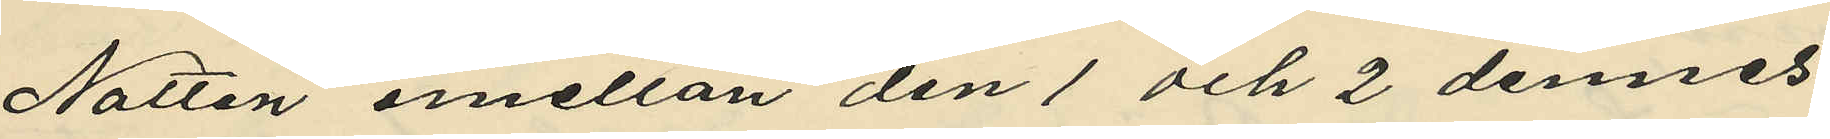Natten emellan den 1 och 2 dennes
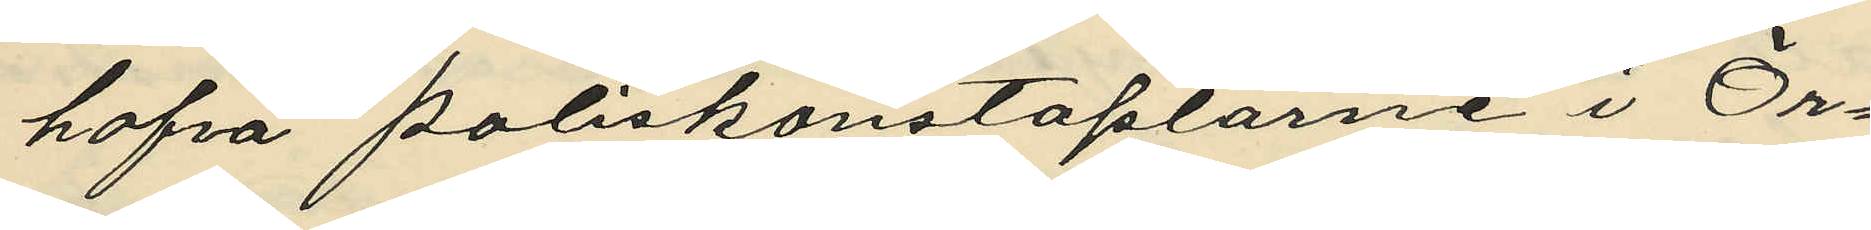hafva poliskonstaplarne i Ör¬
